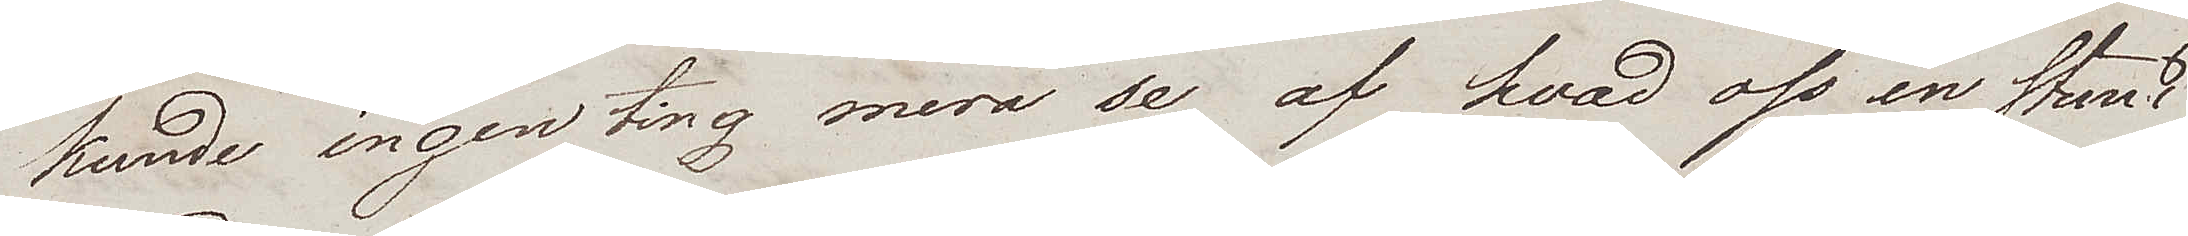kunde ingenting mera se af hvad oss en stund
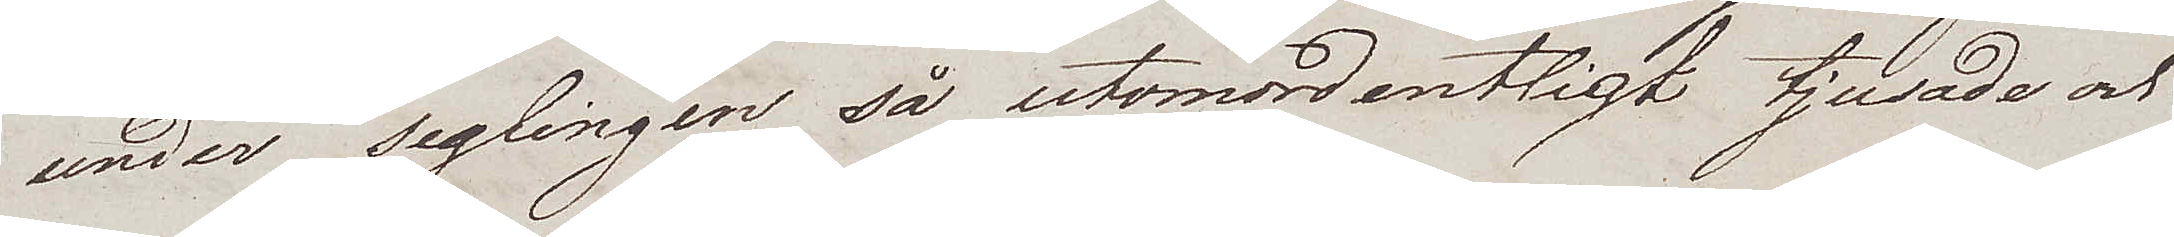under seglingen så utomordentligt tjusade och
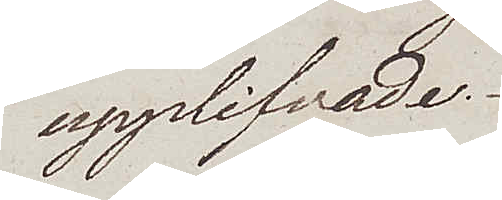upplifvade.
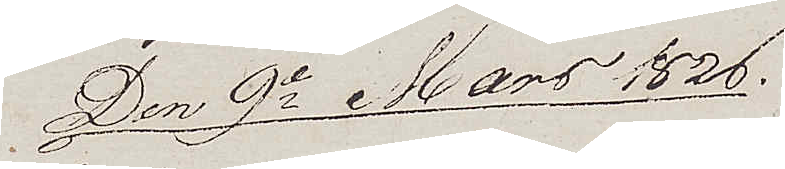Den 9e Mars 1826.
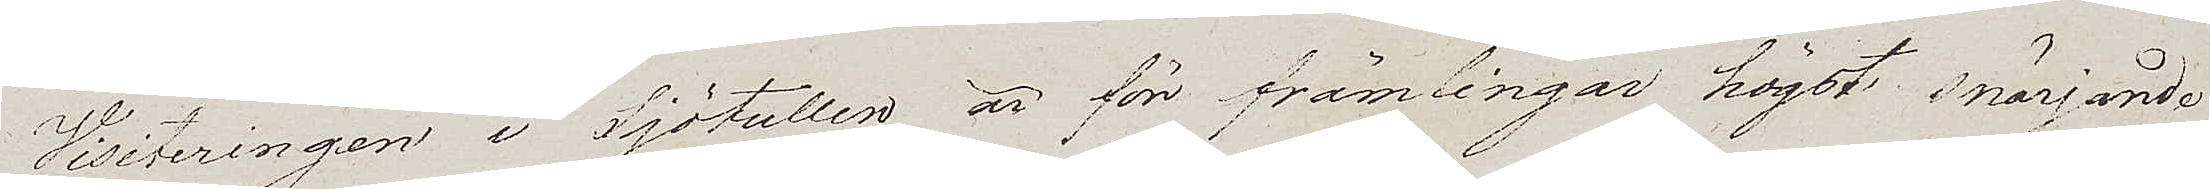Visiteringen i Sjötullen är för främlingar högst snärjande
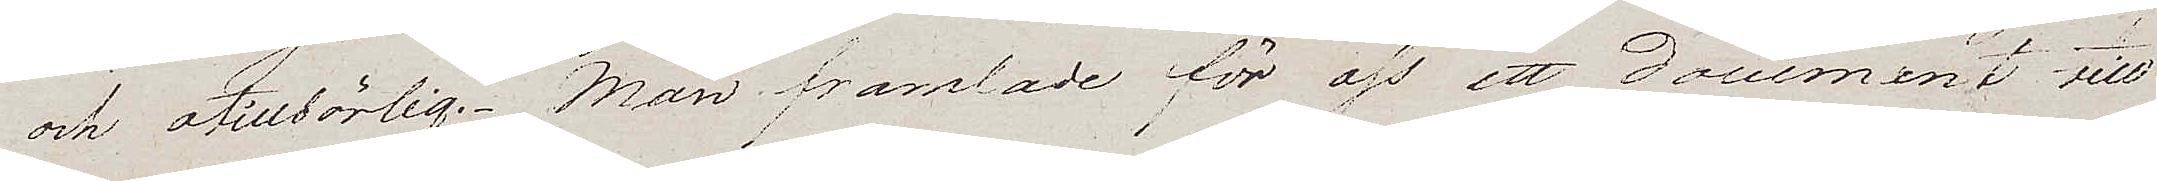och otillbörlig. Man framlade för oss ett document till
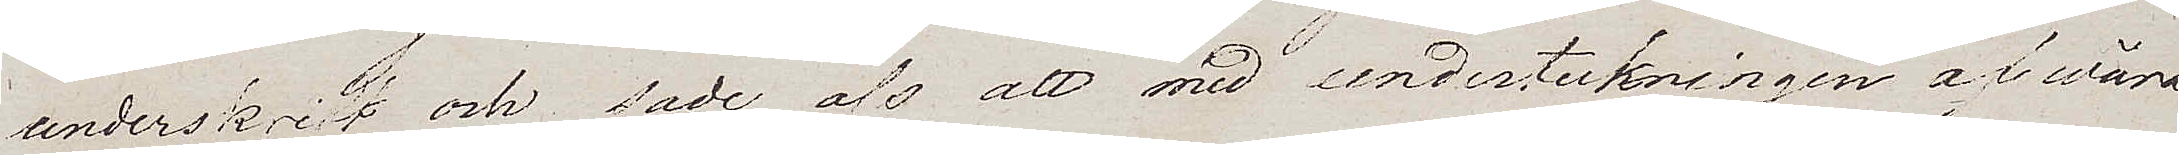underskrift och sade oss att med underteckningen af wåra
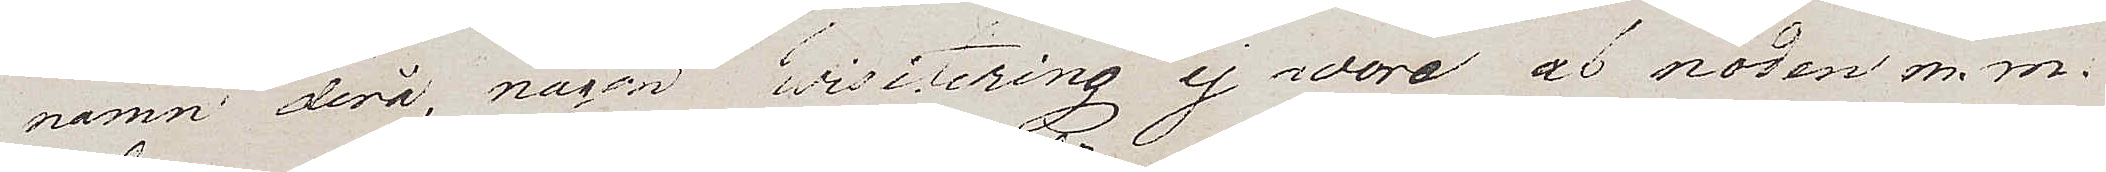namn derå, någon wisitering ej wore af nöden m.m.
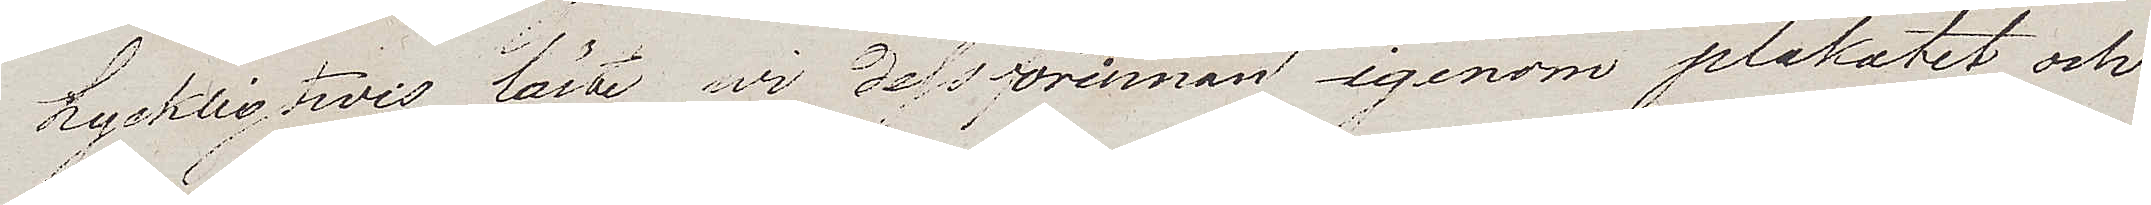Lyckligtvis läste wi dessförinnan igenom plakatet och
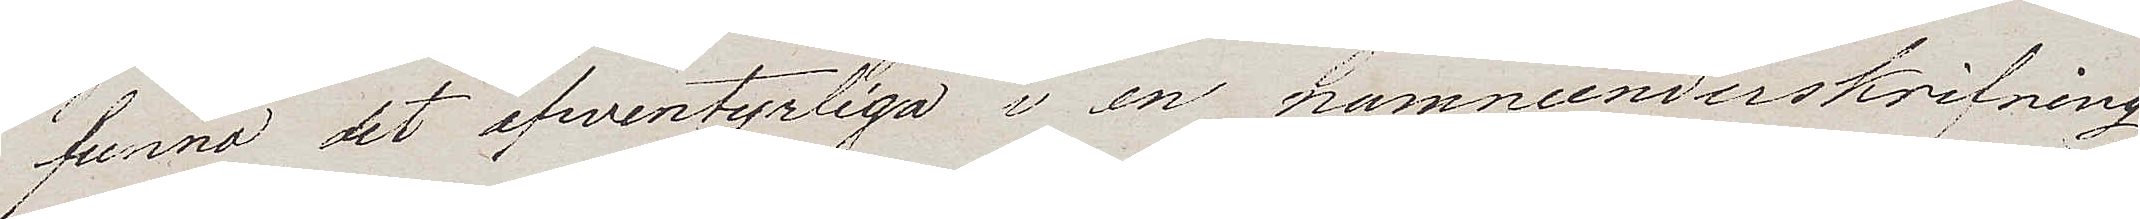funno det äfwentyrliga i en namnunderskrifning
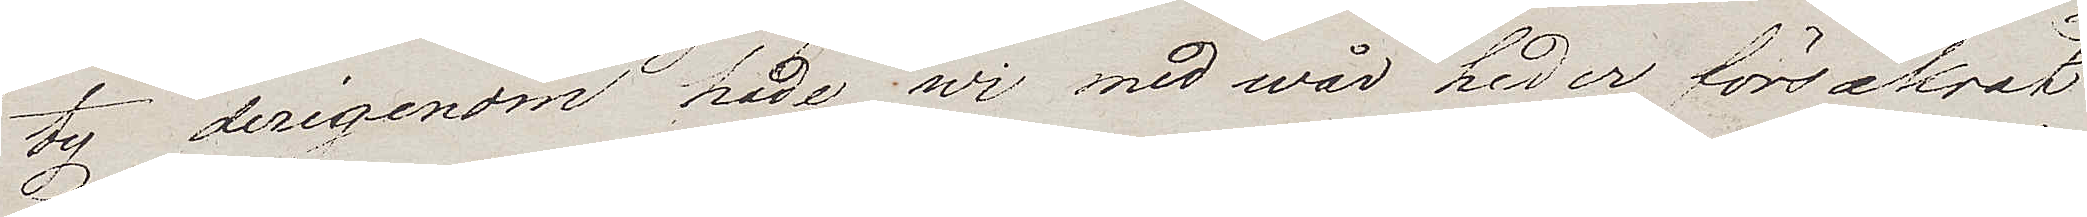ty derigenom hade wi med wår heder försäkrat
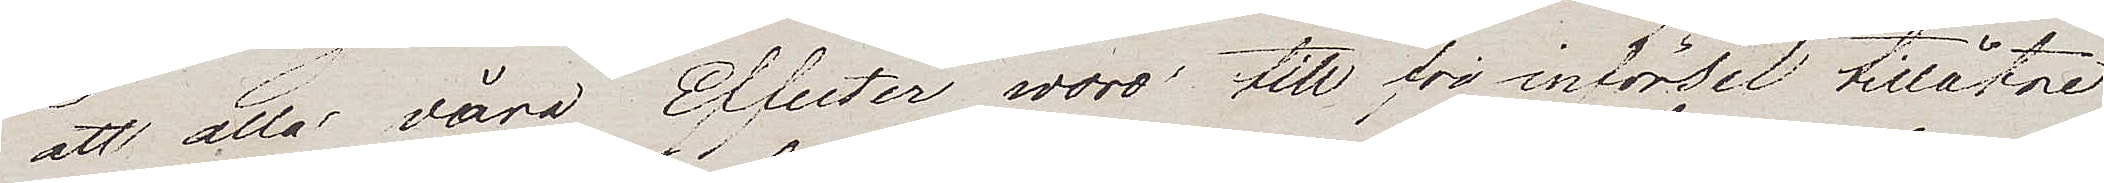att alla våra Effecter woro till fri införsel tillåtne
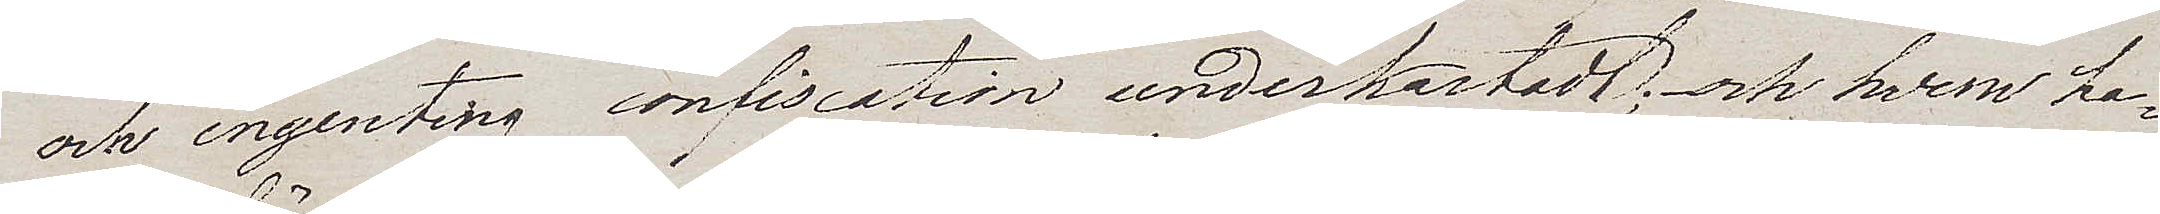och ingenting confiscation underkastadt; – och hvem ha¬
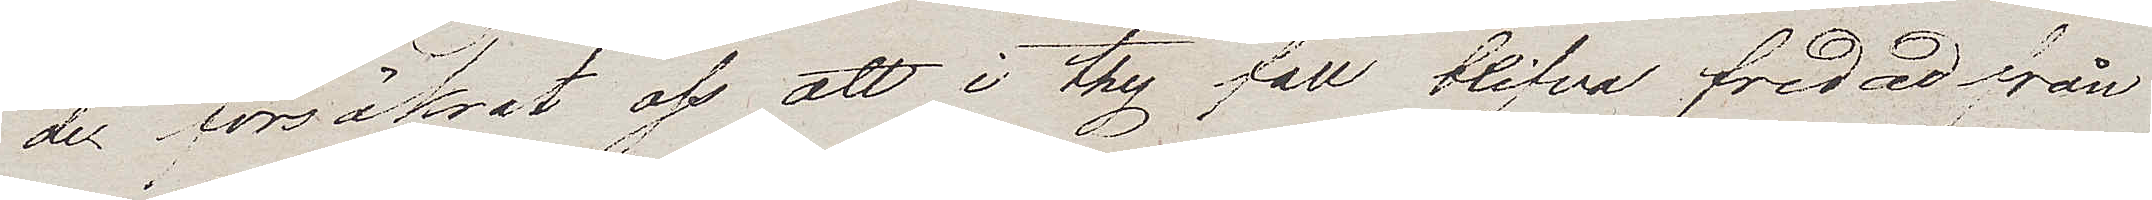de försäkrat oss att i thy fall blifva fredad från
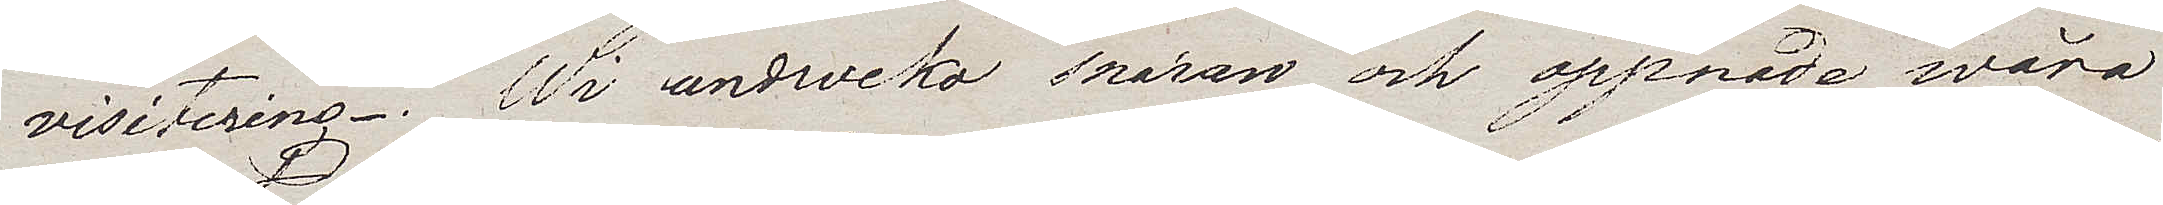visitering.- Wi undveko snaran och öppnade wåra
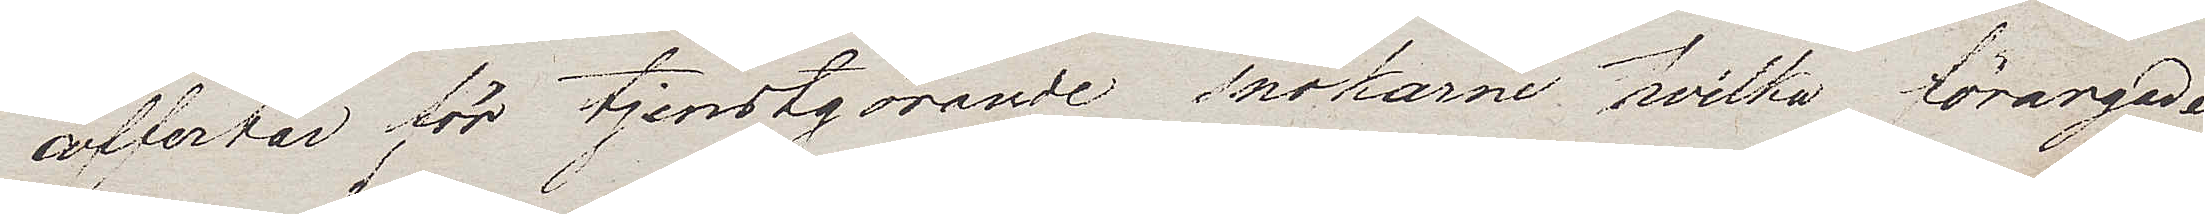coffertar för tjenstgörande snokarne hvilka förargade
